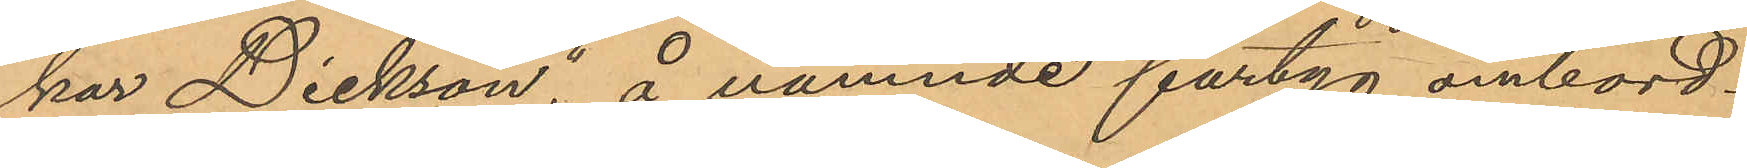kar Dickson", å nämnde fartyg ombord¬
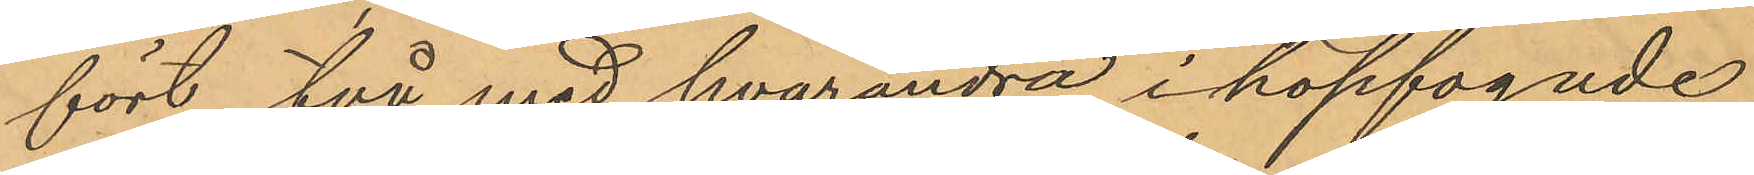fört två med hvarandra ihopfogade
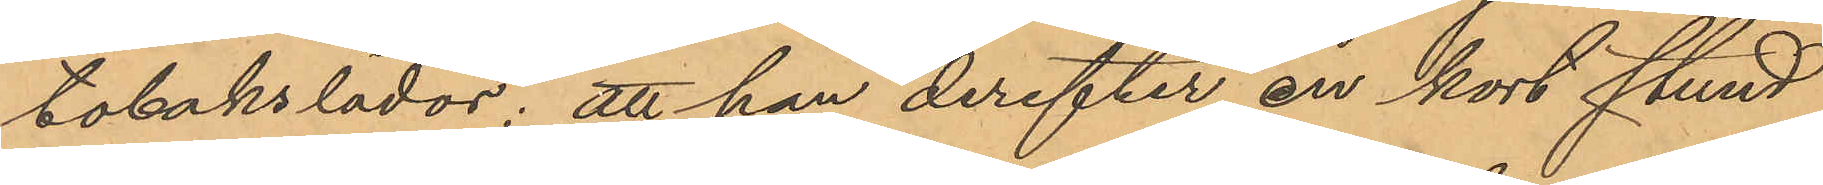tobakslådor; att han derefter en kort stund
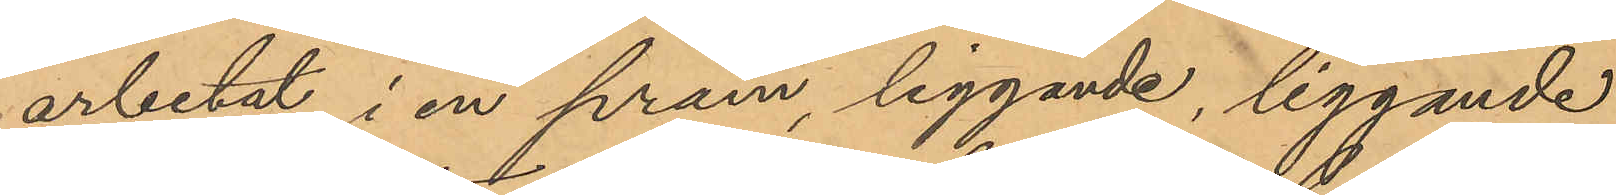arbetat i en pråm liggande, liggande
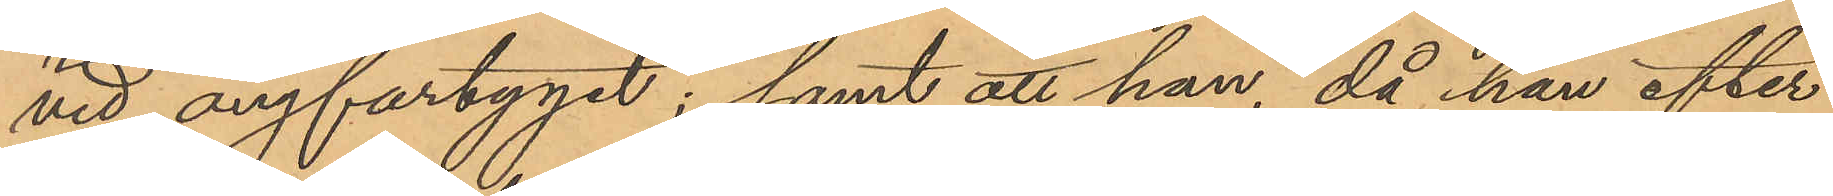vid ångfartyget; samt att han, då han efter
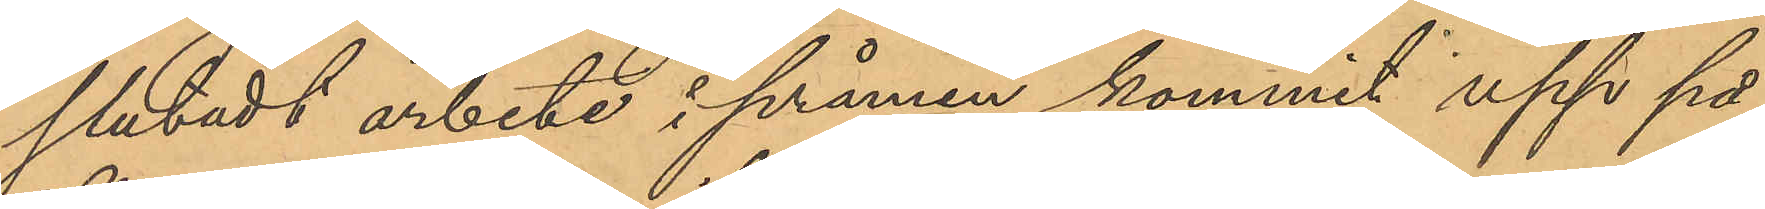slutadt arbete i pråmen kommit upp på
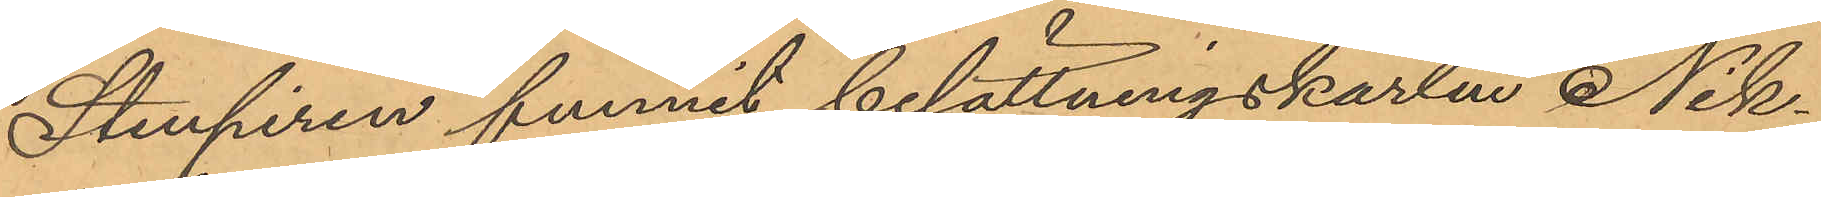Stenpiren funnit besättningskarlen Nik¬
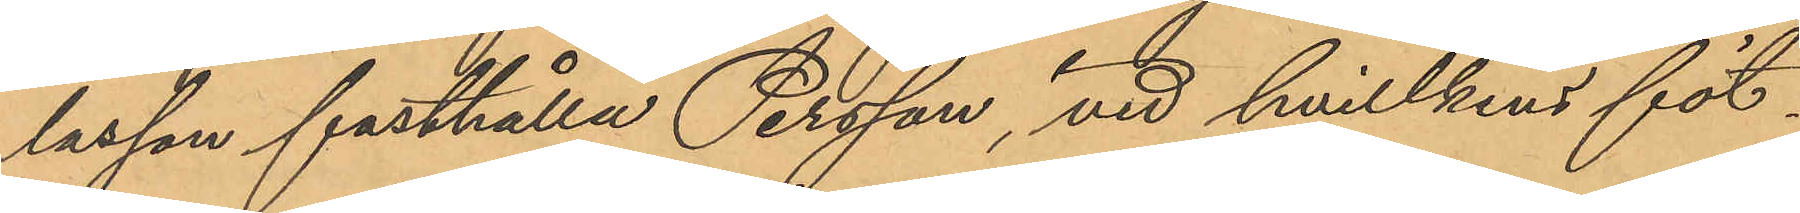lasson fasthålla Persson, vid hvillkens föt¬
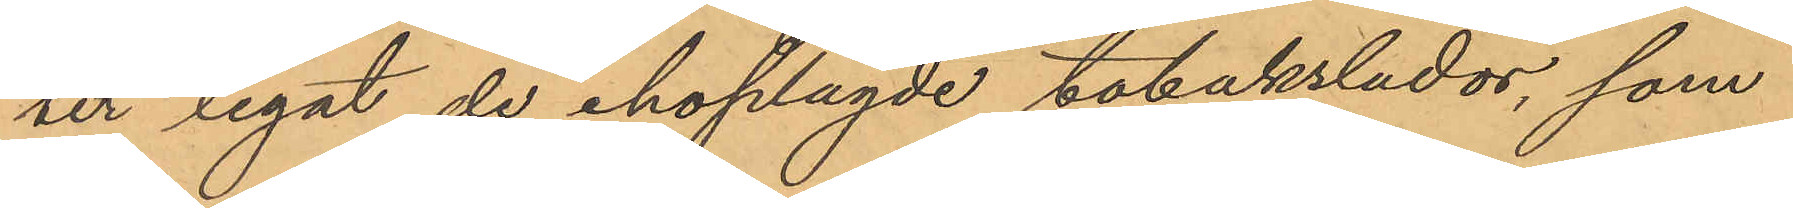ter legat de ihoplagde tobakslådor, som
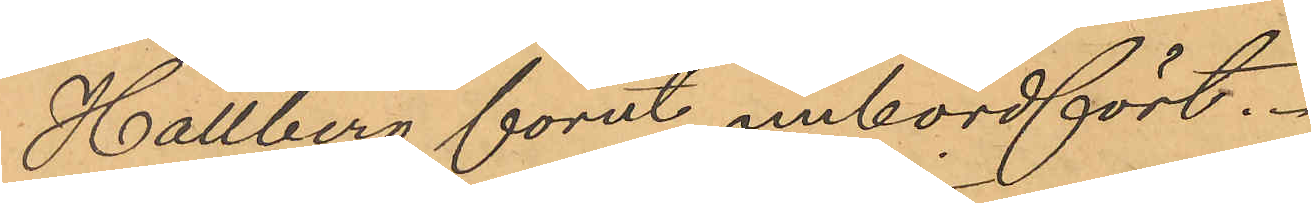Hallberg förut ombordfört.
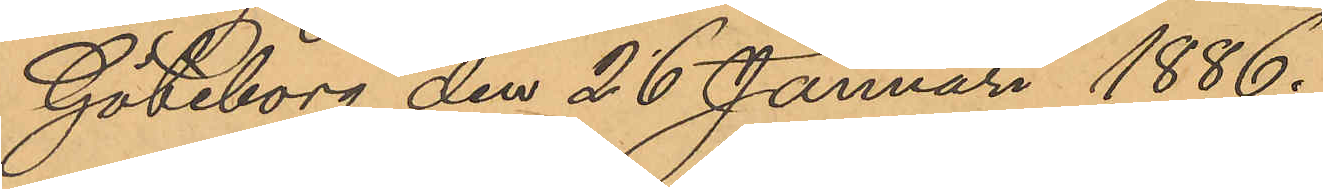Göteborg den 26 Januari 1886.
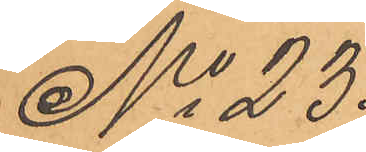No 23.
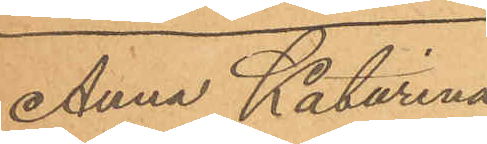Anna Katarina 
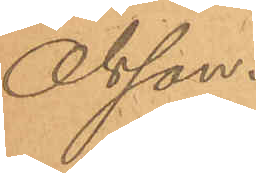Olsson.
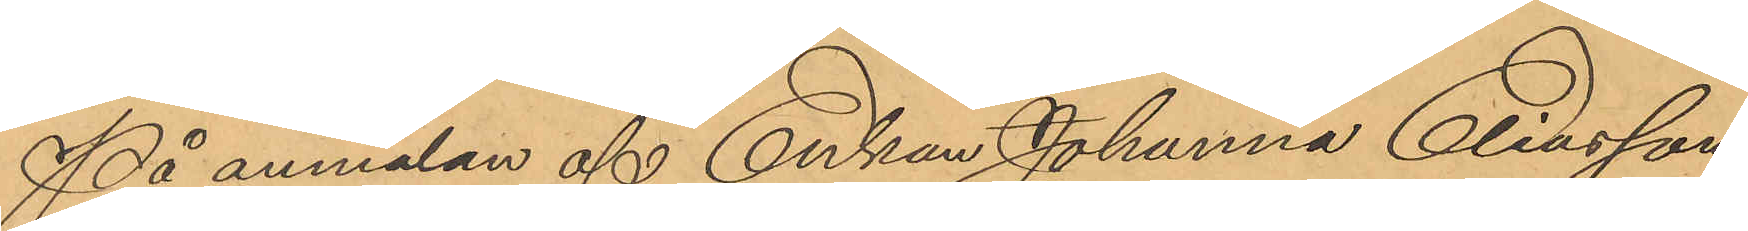På anmälan af Enkan Johanna Eliasson,
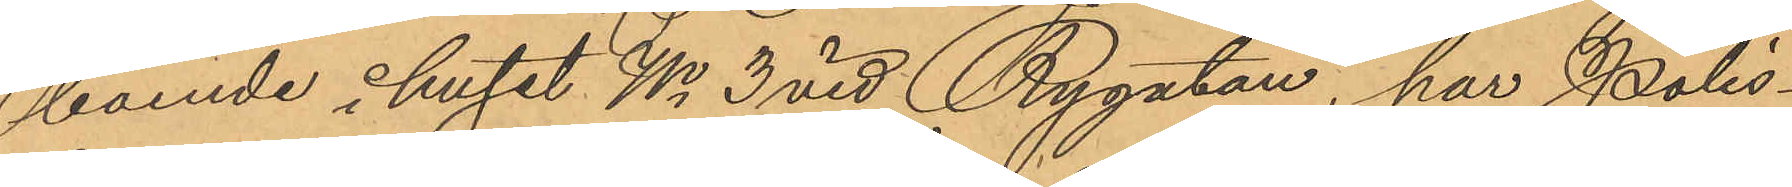boende i huset No 3 vid Rygatan, har Polis¬
